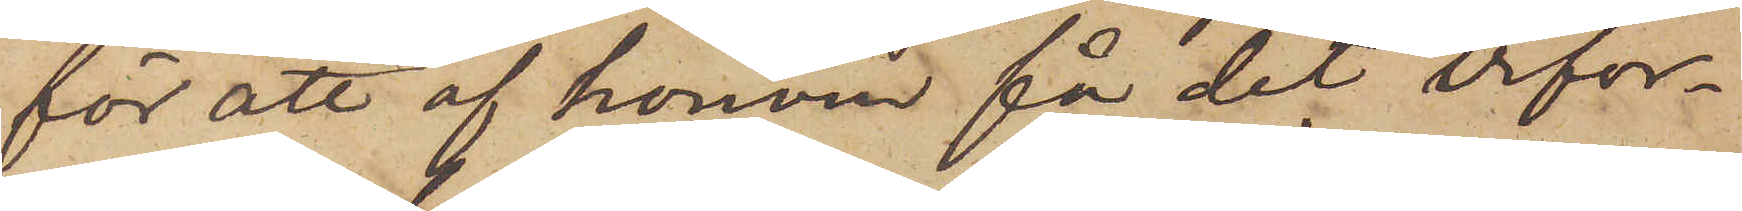för att af honom få det erfor¬
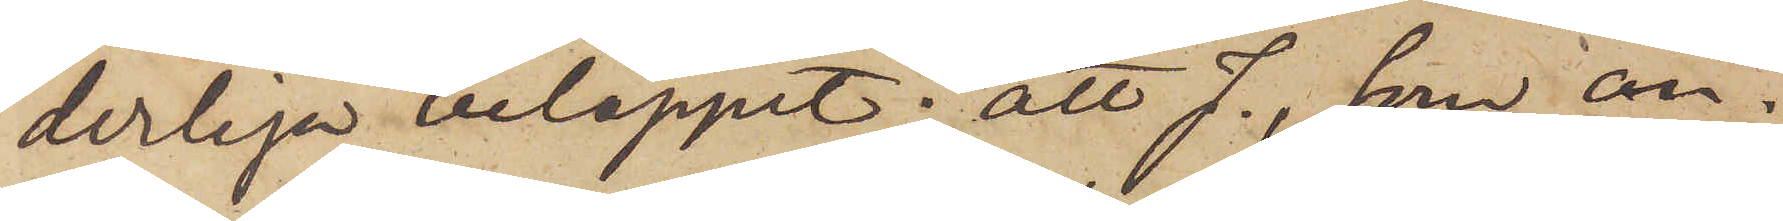derliga beloppet; att J., har an¬
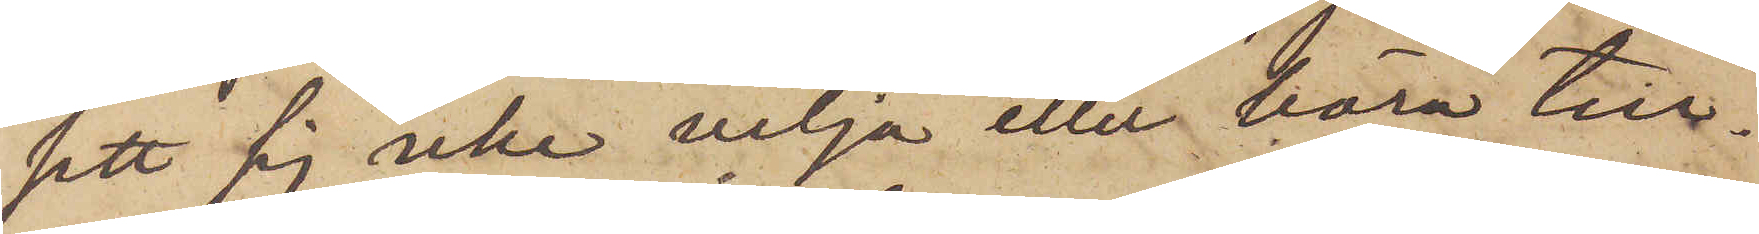sett sig icke vilja eller böra till¬
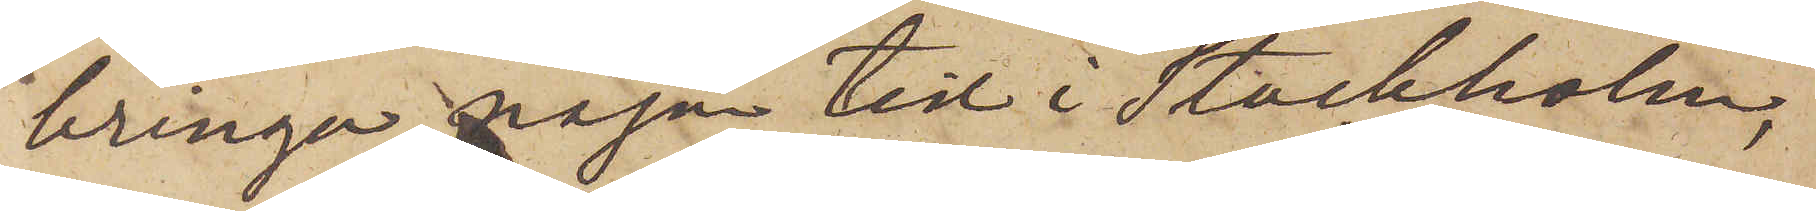bringa någon tid i Stockholm,
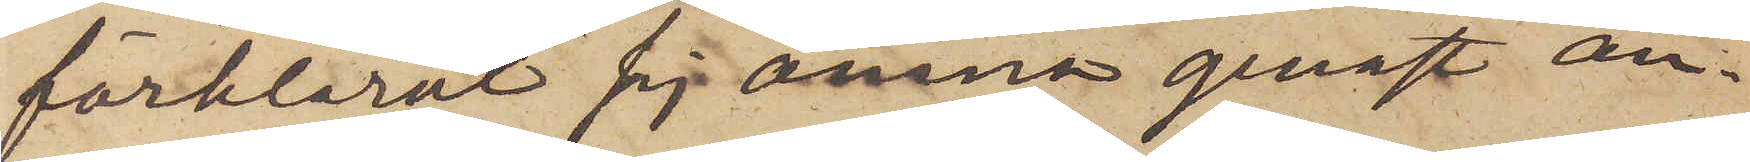förklarat sig ämna genast an¬
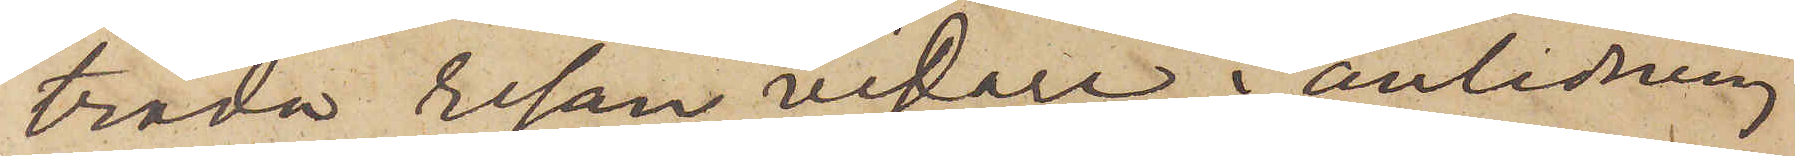träda resan vidare, i anledning
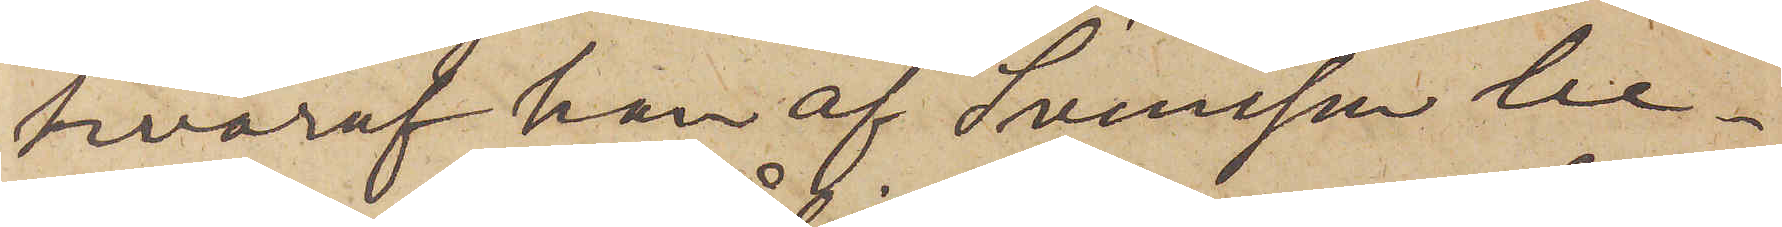hvaraf han af Svensson be¬
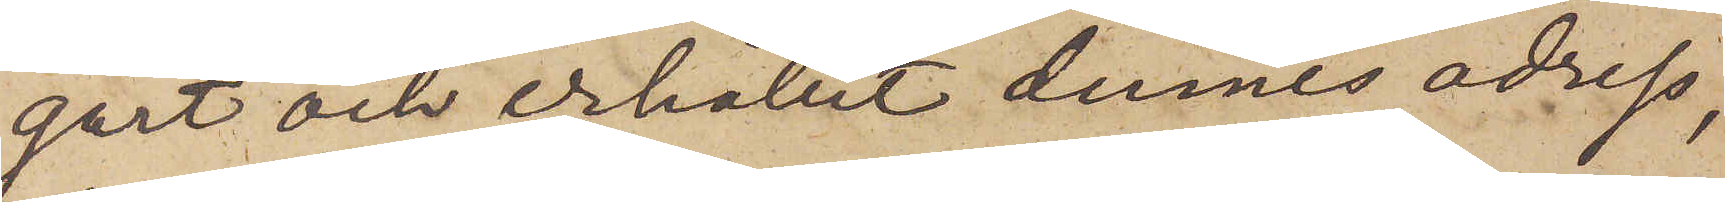gärt och erhållit dennes adress,
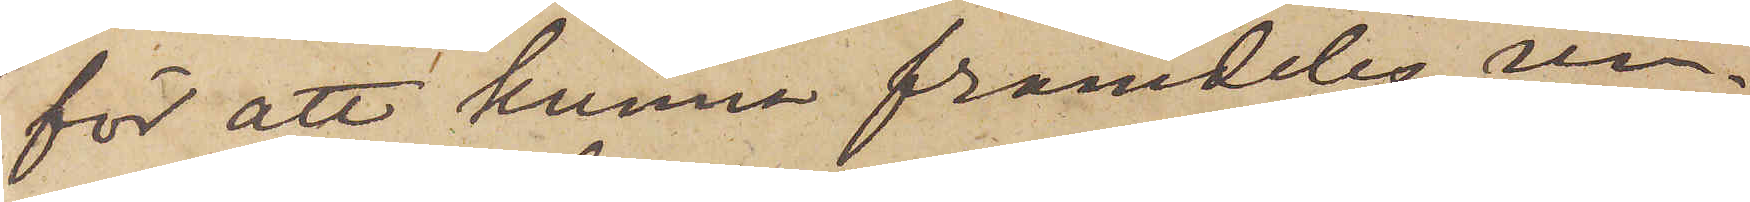för att kunna framdeles un¬
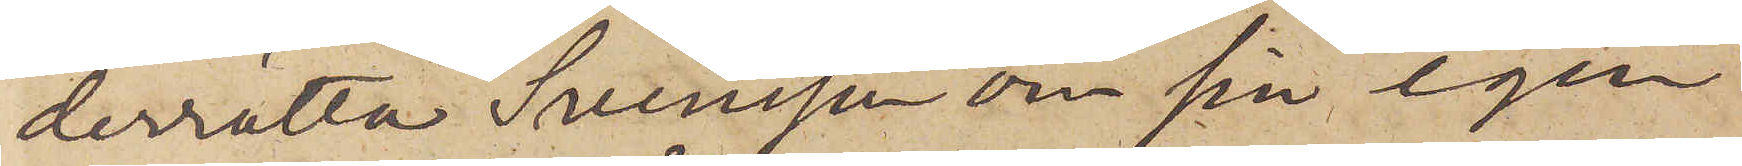derrätta Svensson om sin egen
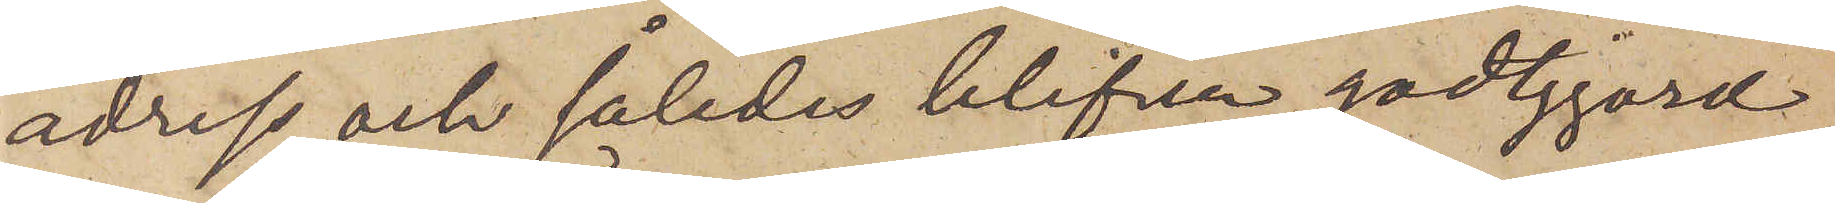adress och således blifva godtgjord
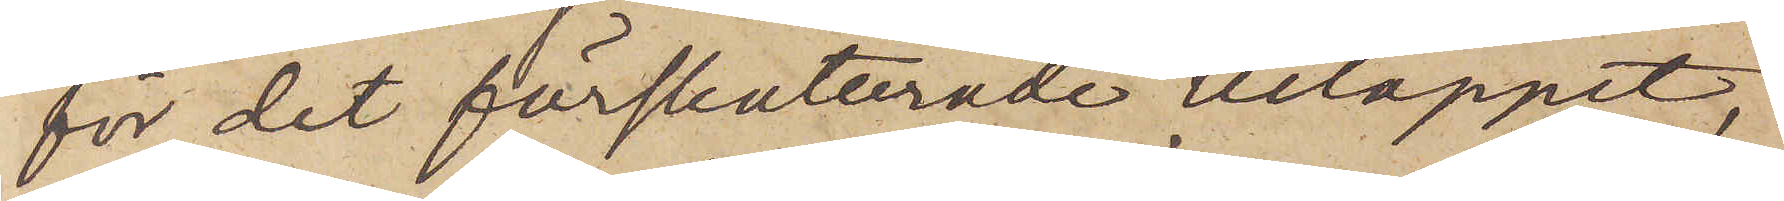för det förskoterade beloppet;
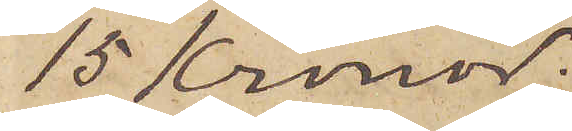15 Kronor;
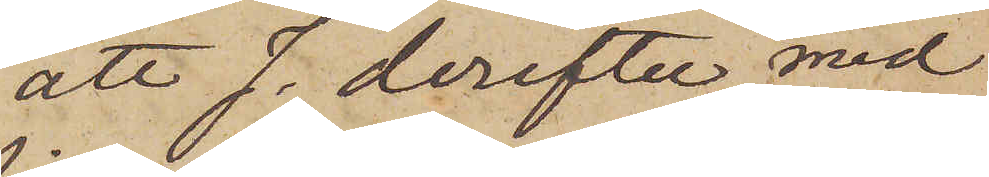att J. derefter med
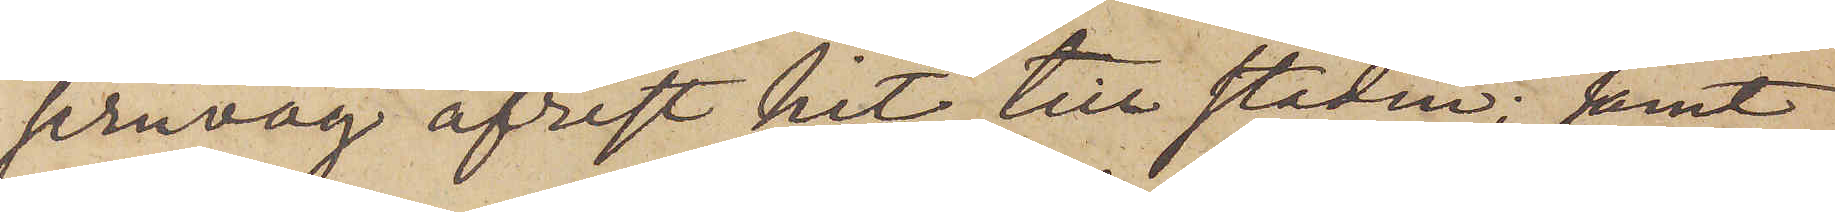jernväg afrest hit till staden; samt
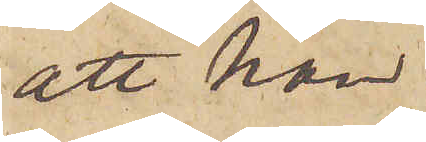att han
